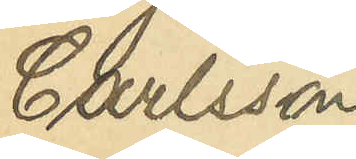Carlsson
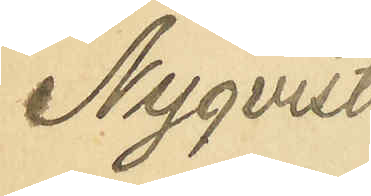Nyqvist
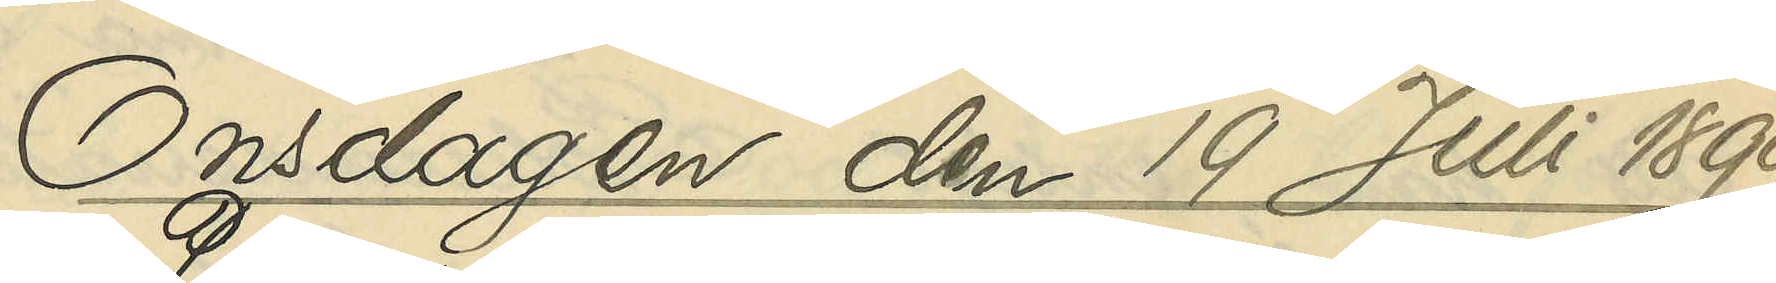Onsdagen den 19 Juli 1899
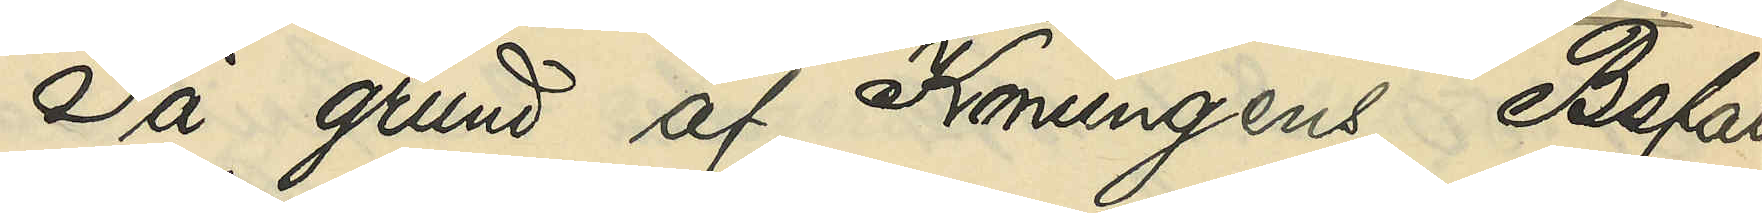På grund af Konungens Befall¬
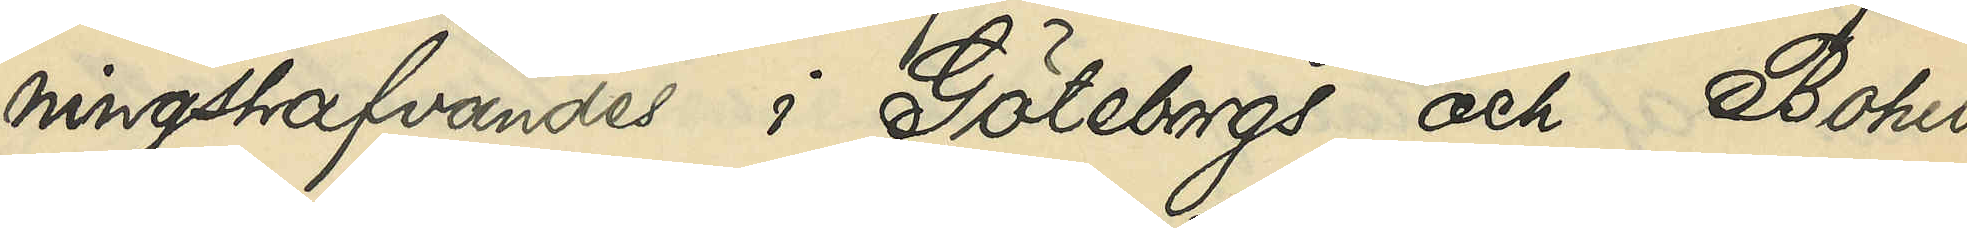ningshafvandes i Göteborgs och Bohus
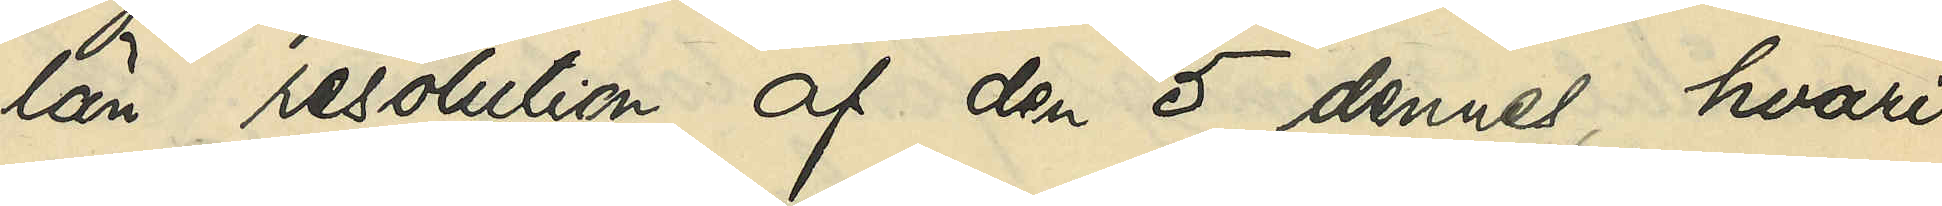län resolution af den 5 dennes, hvari¬
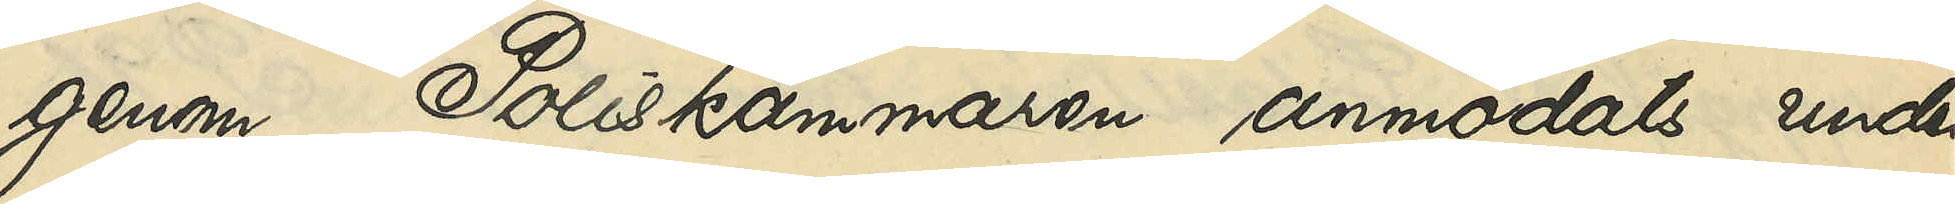genom Poliskammaren anmodats under¬
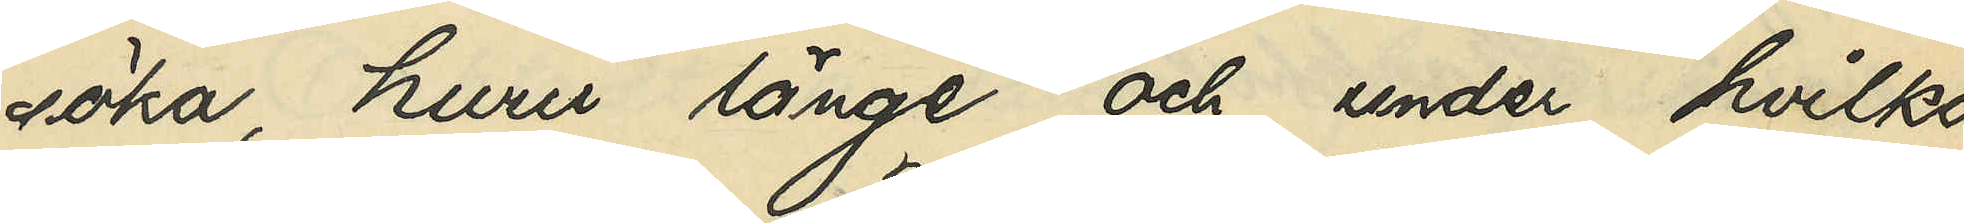söka, huru länge och under hvilka
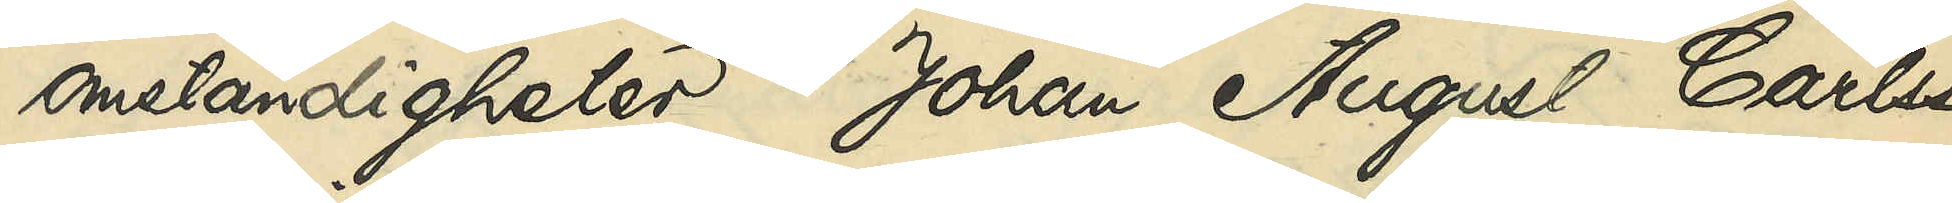omständigheter Johan August Carlsson
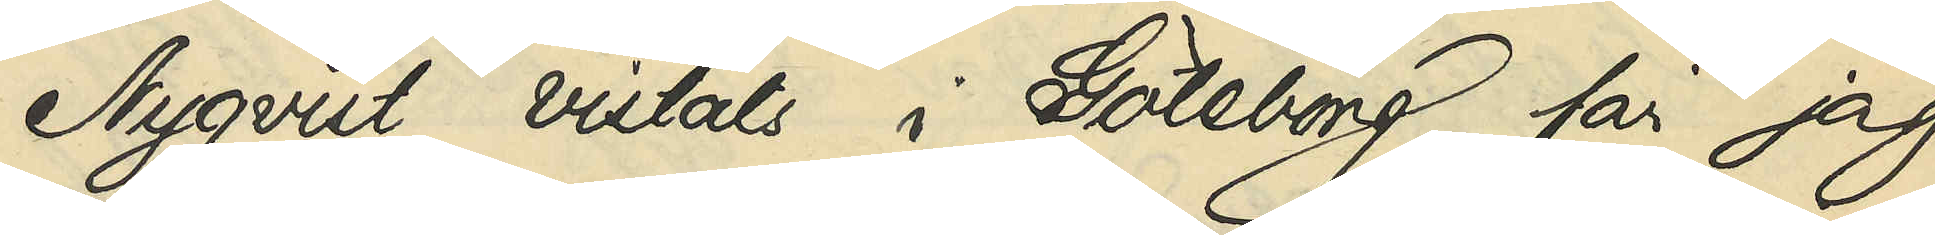Nyqvist vistats i Göteborg, får jag
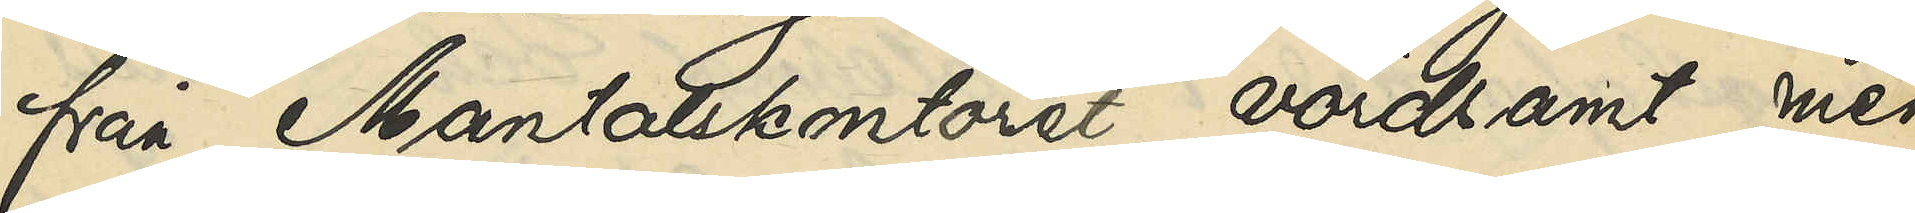från Mantalskontoret, vördsamt med¬
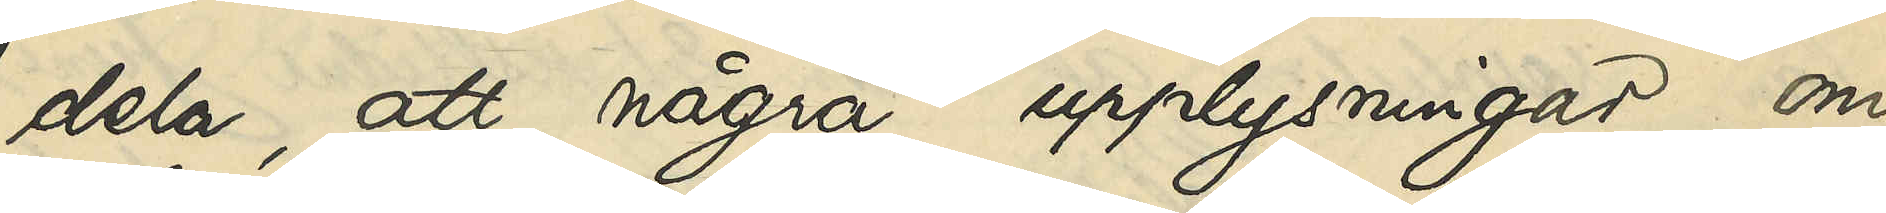dela, att några upplysningar om
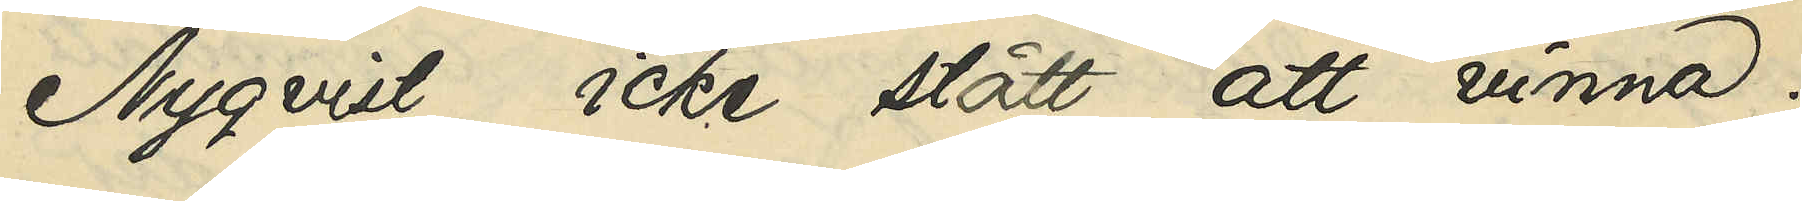Nyqvist icke gått att vinna.
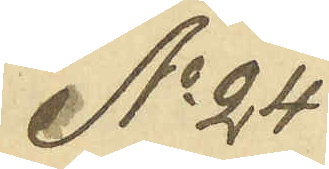No 24
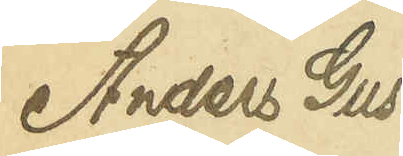Anders Gus¬
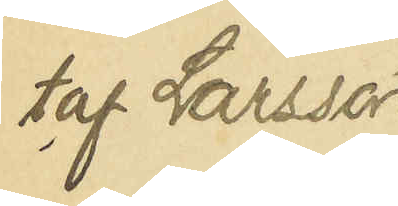taf Larsson
